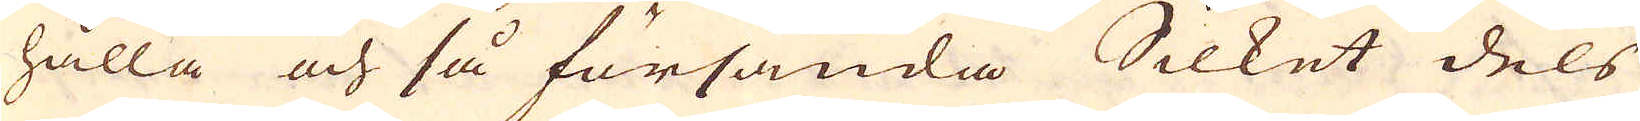hålla och så försända Silket dels
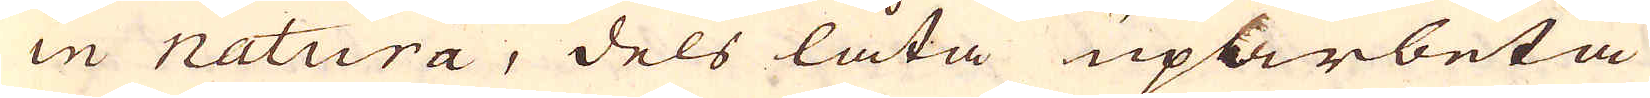in natura, dels låta uparbeta
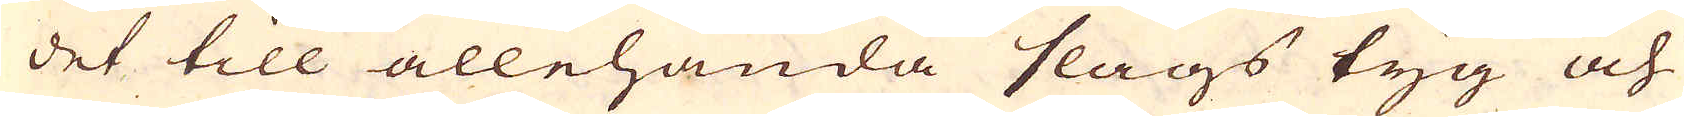det till allehanda slags tyg och
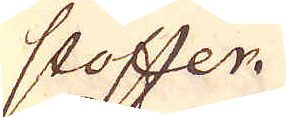stoffer.
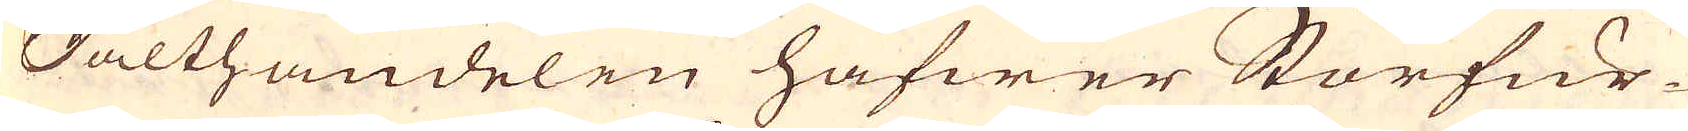Salthandelen hafwer Storfur-
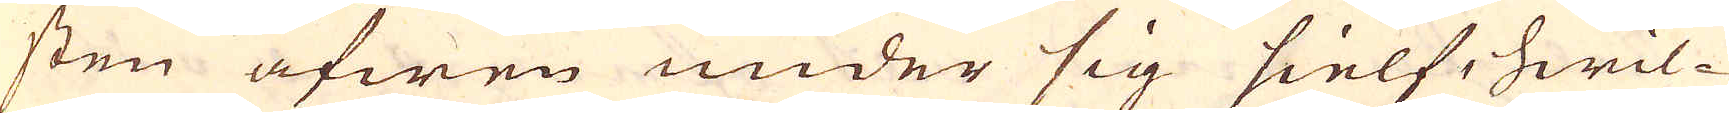sten äfwen under sig sielf, hwil-
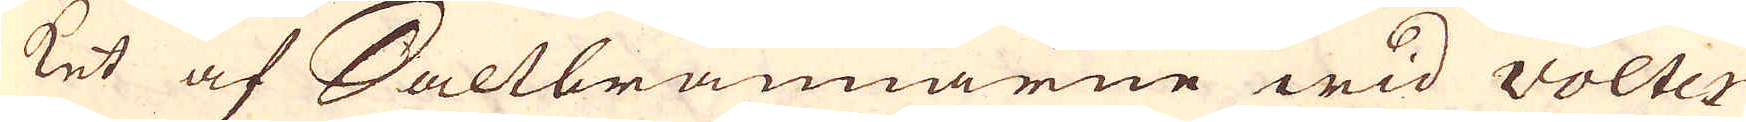ket af Saltbrännarne wid volter-
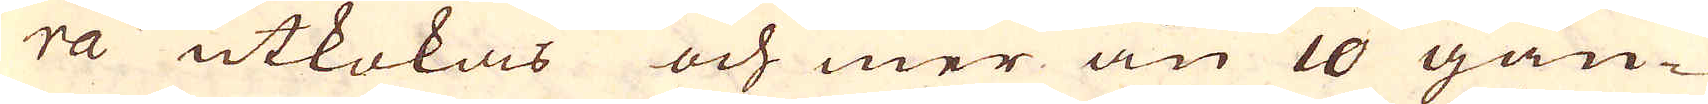ra utkokas och mer än 10 gån-
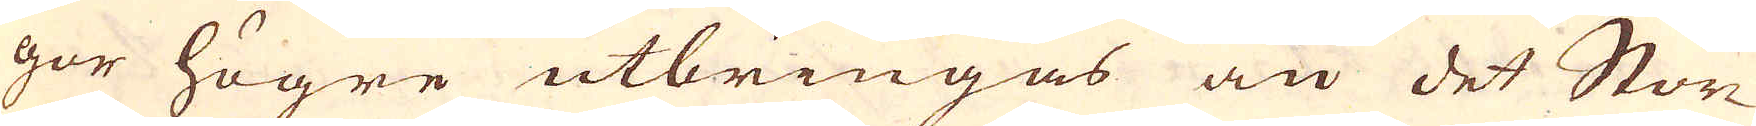gor högre utbringas än det Stor-
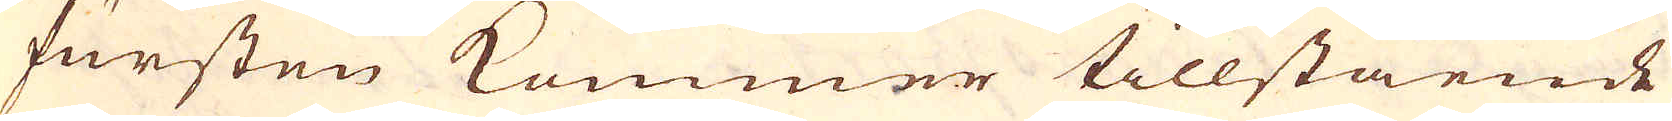fursten kommer tillstående
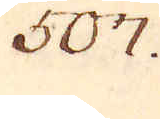507.
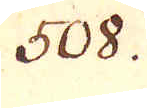508.
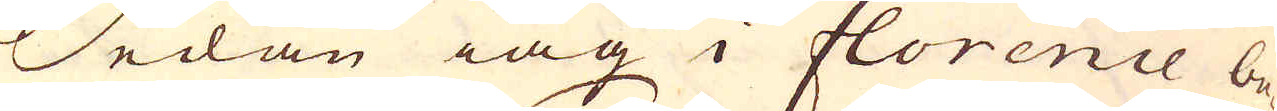Sedan iag i Florence be-
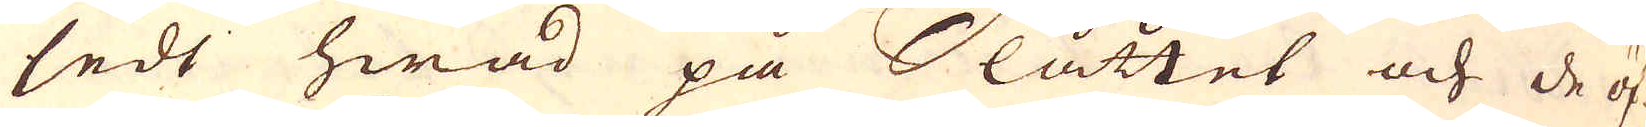ledt hwad på Slåttet och de öf-
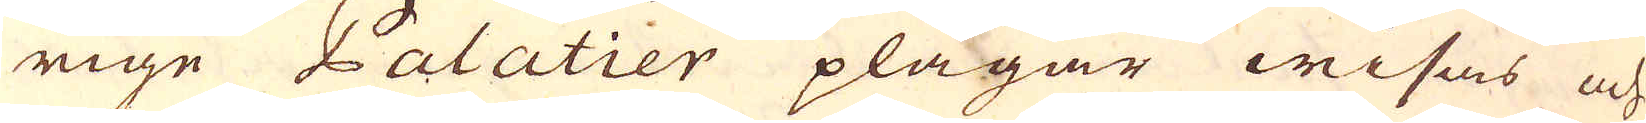rige Palatier plägar wisas och
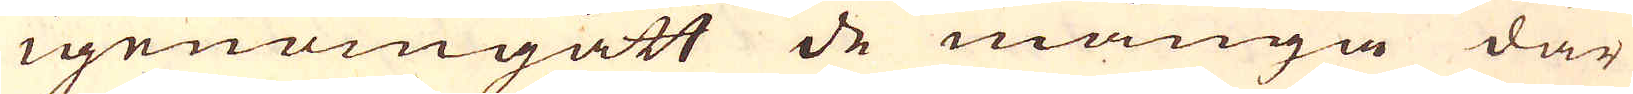igenomgått de många där
